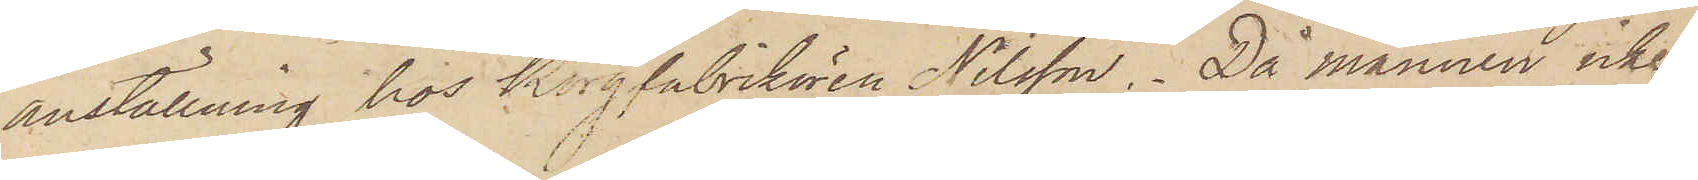anställning hos Korgfabrikören Nilsson. Då mannen icke
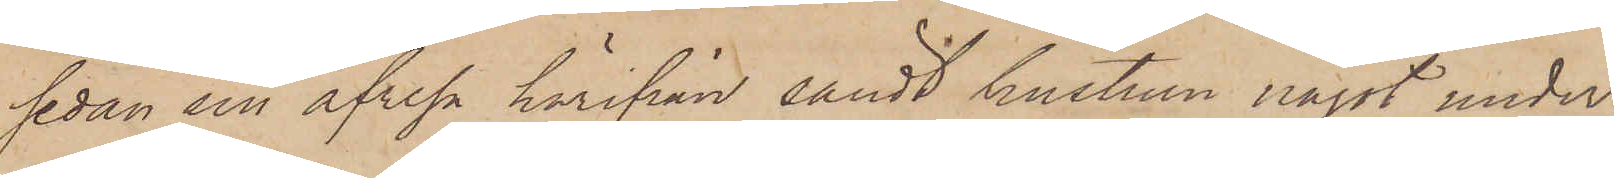sedan sin afresa härifrån sändt hustrun något under¬
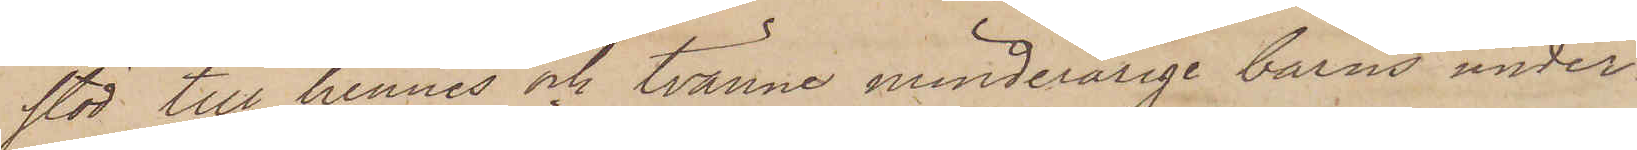stöd till hennes och tvänne minderårige barns under¬
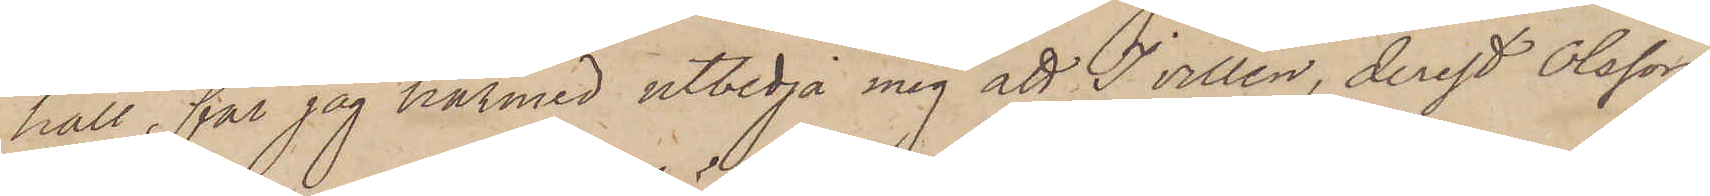håll, får jag härmed utbedja mig att I villen, derest Olsson
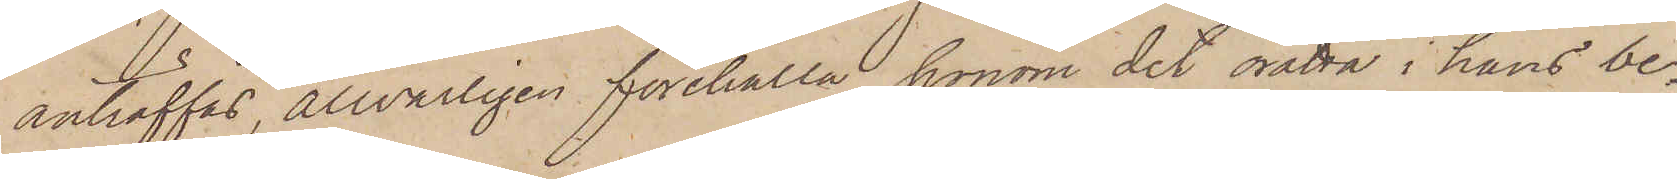anträffas, allvarligen förehålla honom det rätta i hans be¬
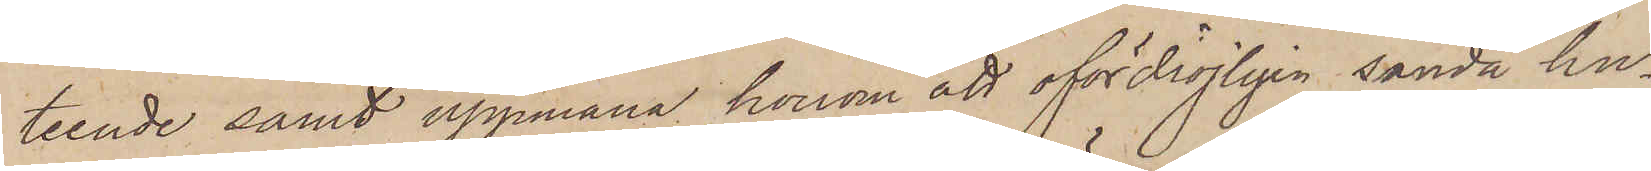teende samt uppmana honom att ofödröjligen sända hu¬
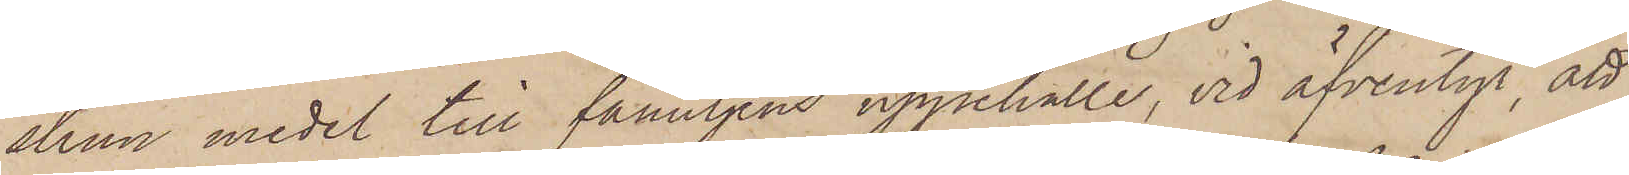strun medel till familjens uppehälle, vid äfventyr, att
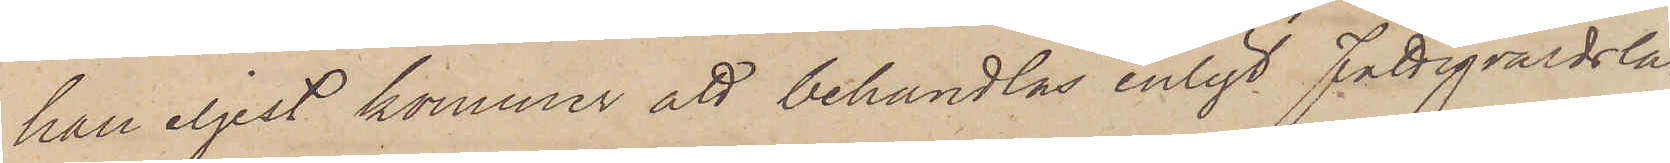han iljest kommer att behandlas enligt Fattigvårdsla¬
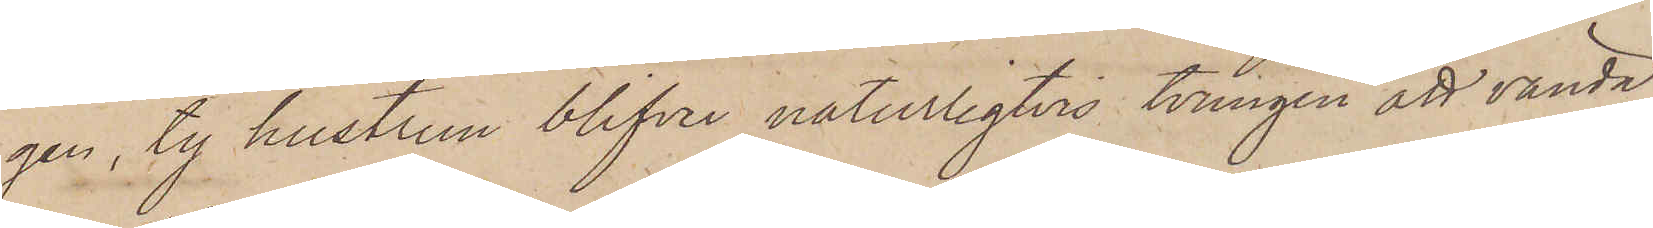gen, ty hustrun blifver naturligtvis tvungen att vända
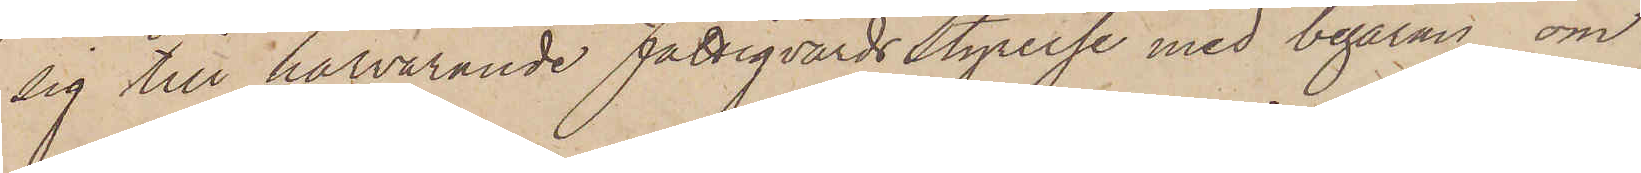sig till härvarande Fattigvårdsstyrelse med begäran om
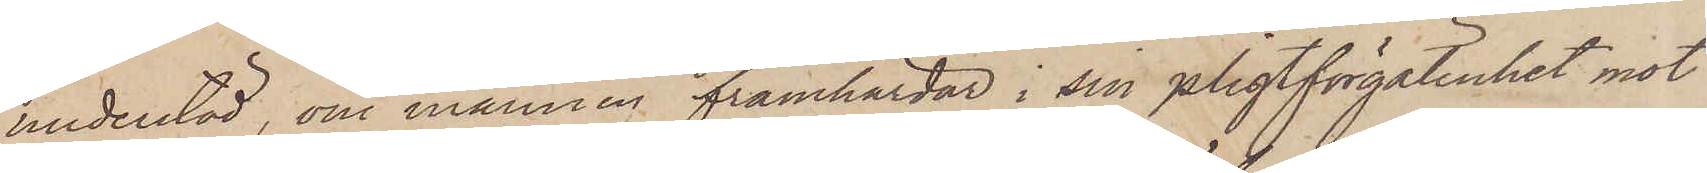understöd, om mannen framhärdar i sin pligtförgätenhet mot
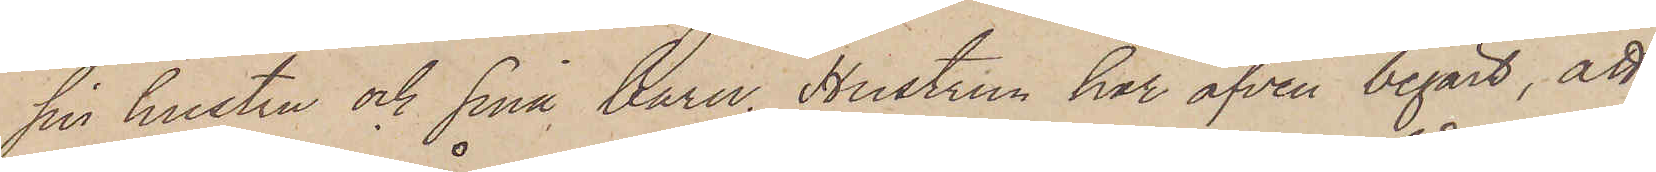sin hustru och sina barn. Hustrun har äfven begärt, att
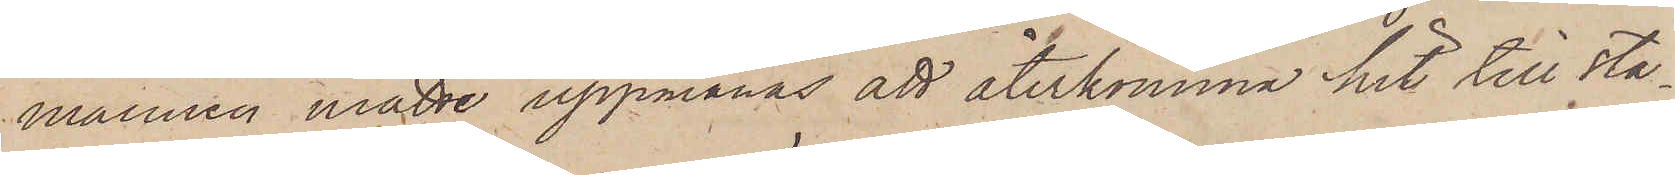mannen måtte uppmanas att återkomma hit till sta¬
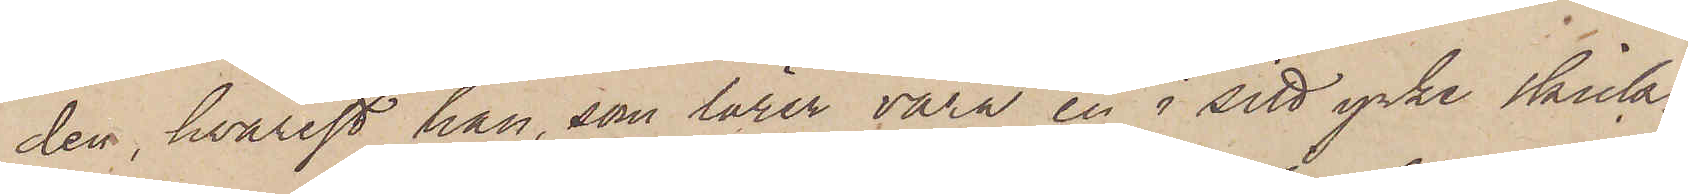den, hvarest han, som lärer vara en i sitt yrke skick¬
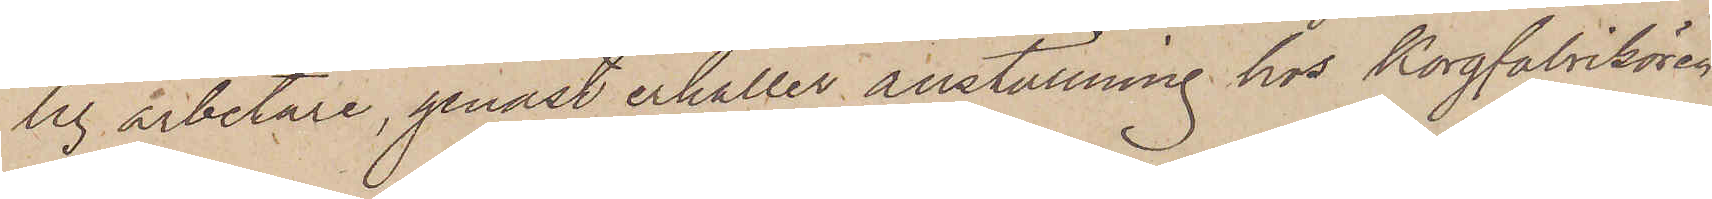lig arbetare, genast erhåller anställning hos Korgfabrikören
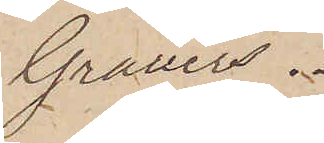Grauers.
